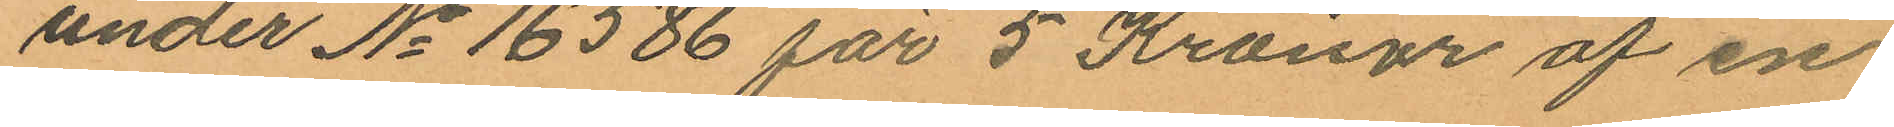under No 16586 för 5 Kronor af en
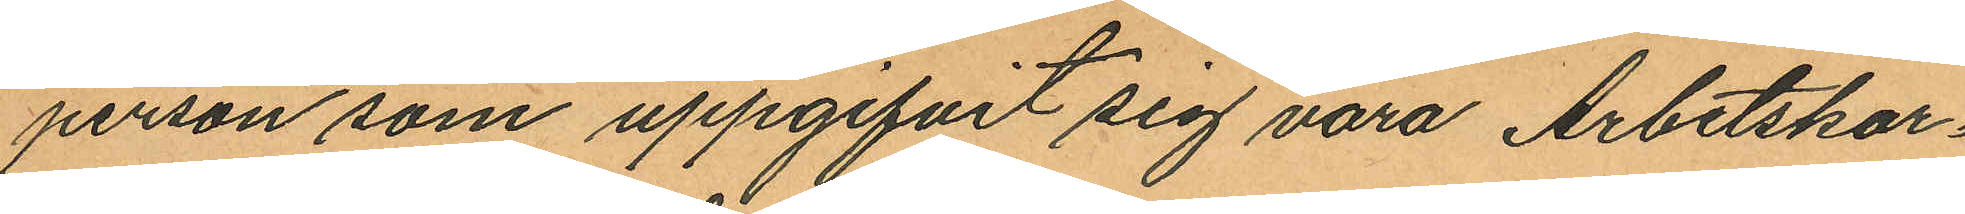person som uppgifvit sig vara Arbetskar¬
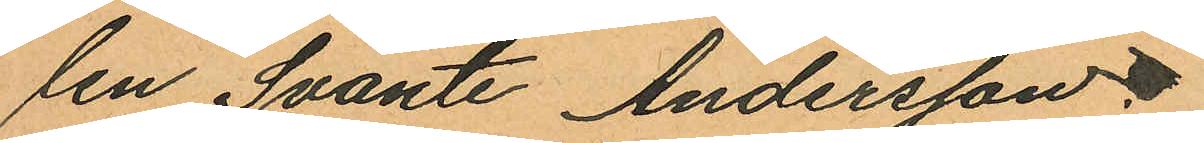len Svante Andersson.
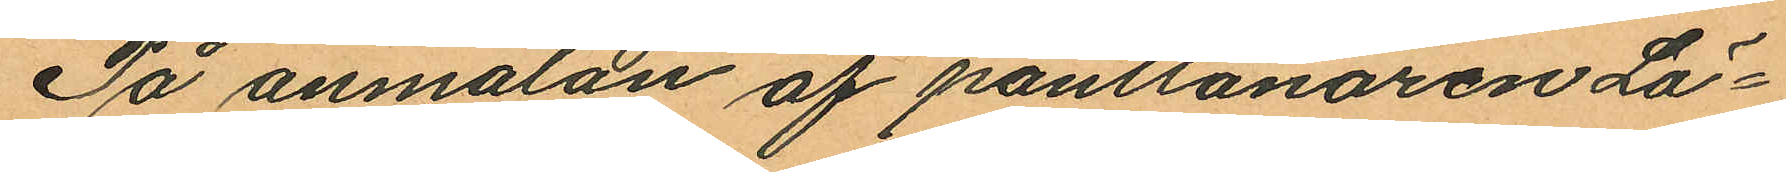På anmälan af pantlånaren Lö¬
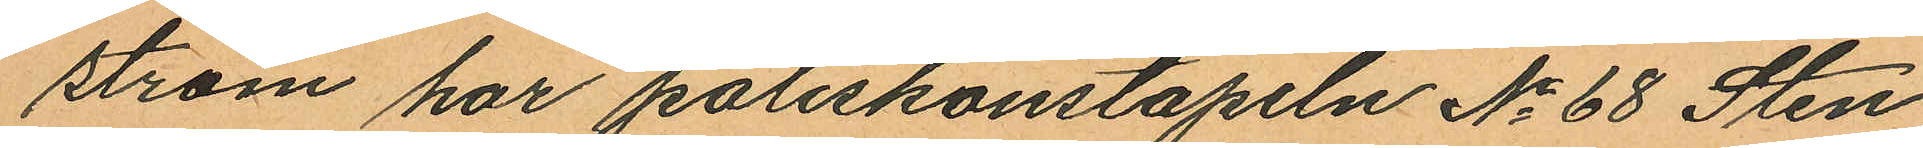ström har poliskonstapeln No 68 Sten
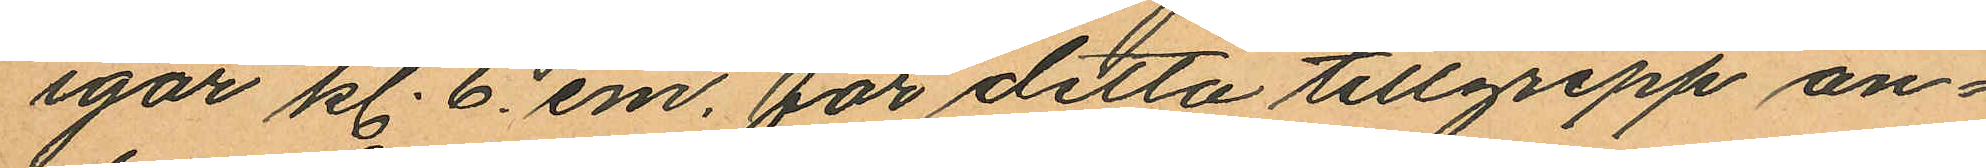igår kl. 6. em. för detta tillgrepp an¬
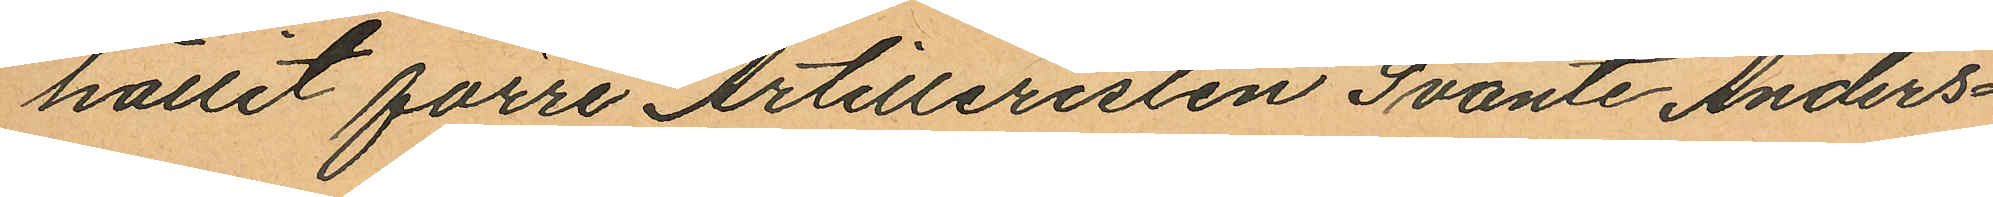hållit förre Artilleristen Svante Anders¬
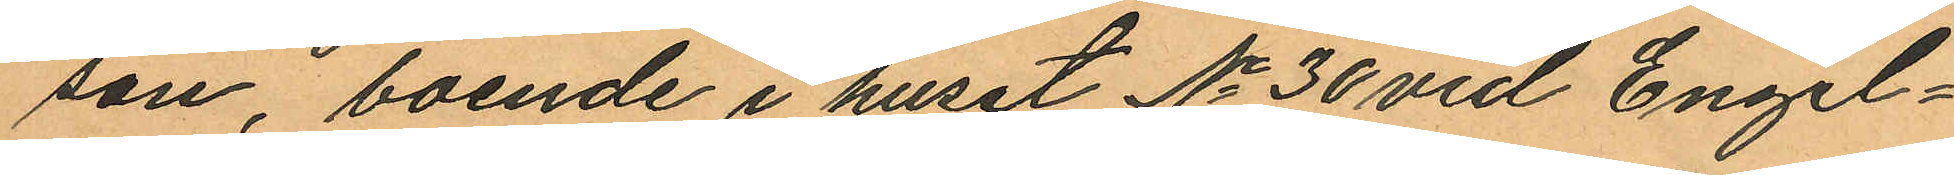son, boende i huset No 30 vid Engel¬
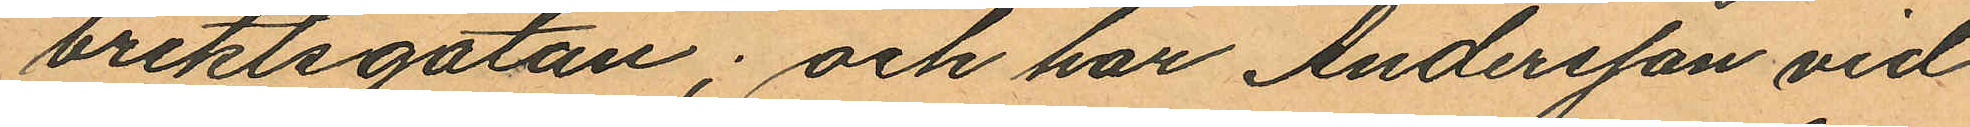brektsgatan; och har Andersson vid
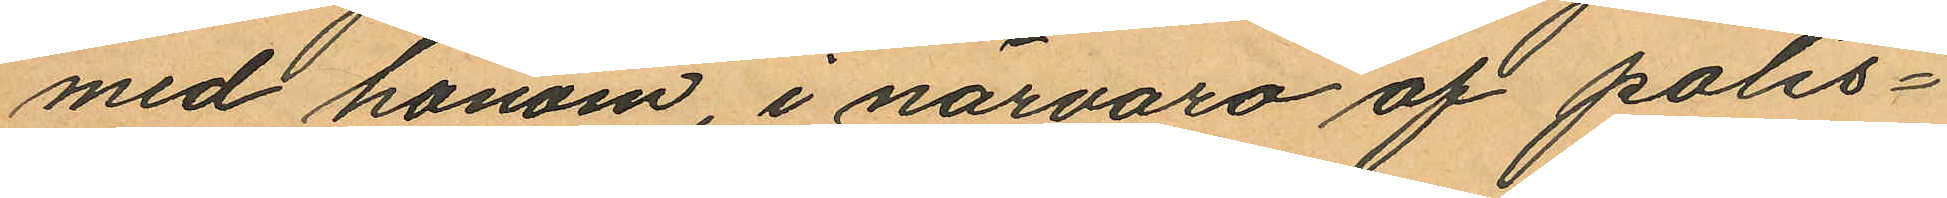med honom i närvaro af polis¬
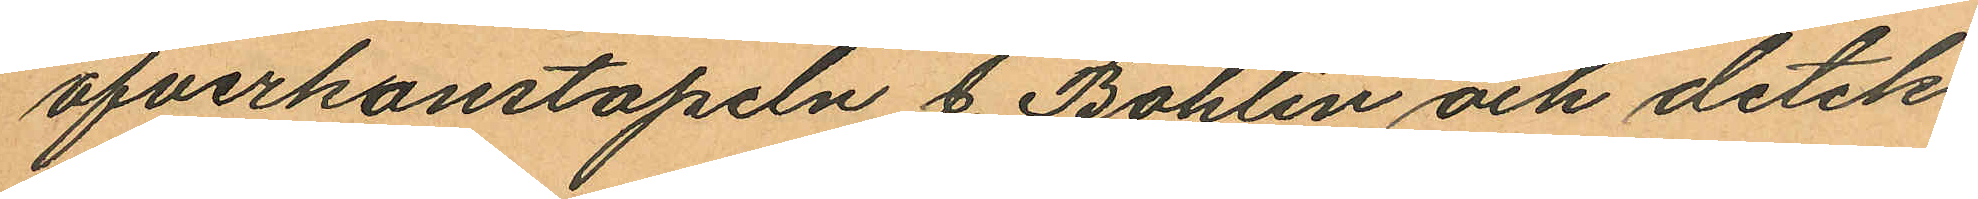öfverkonstapeln J. Bohlin och detek¬
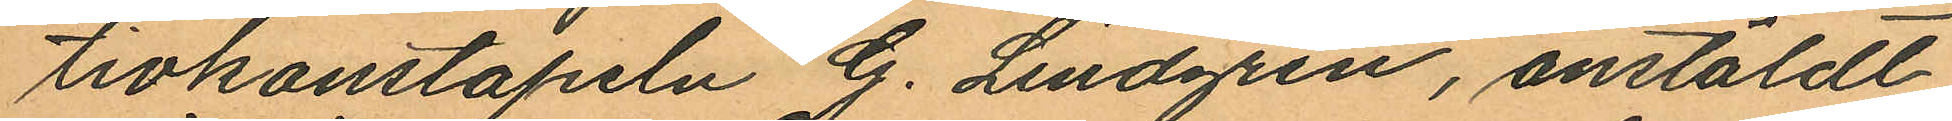tivkonstapeln G. Lindgren, anstäldt
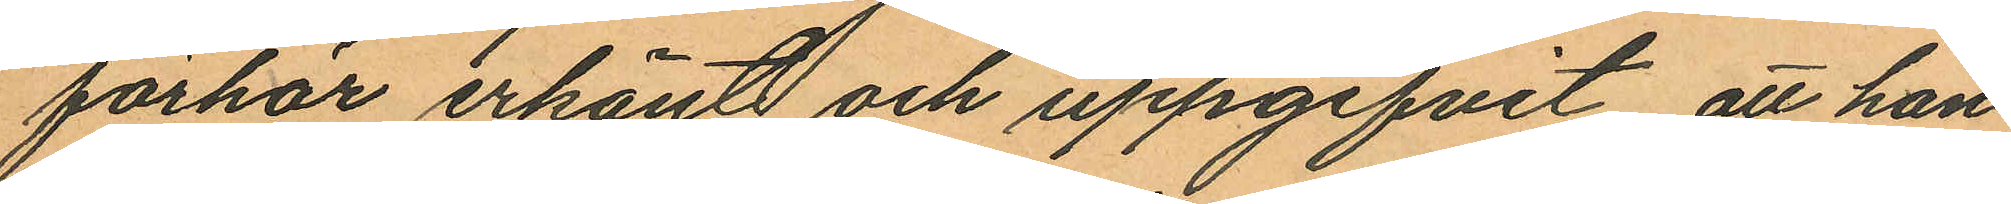förhör erkänt och uppgifvit, att han
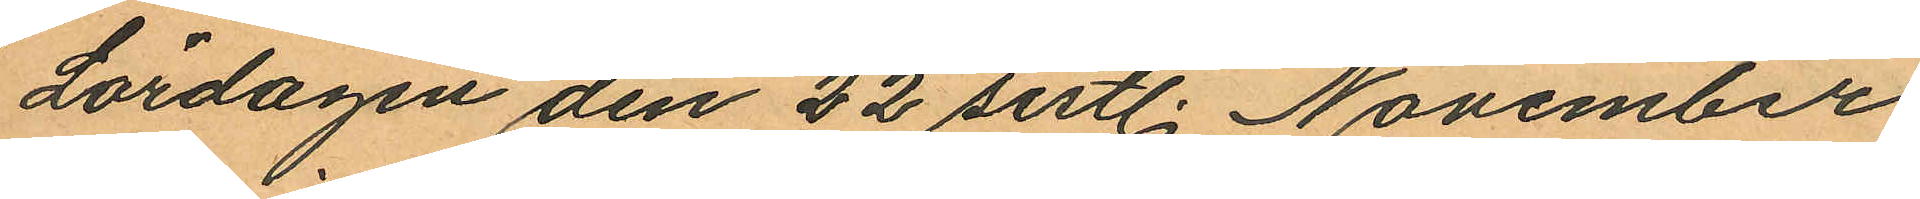Lördagen den 22 sistl. November
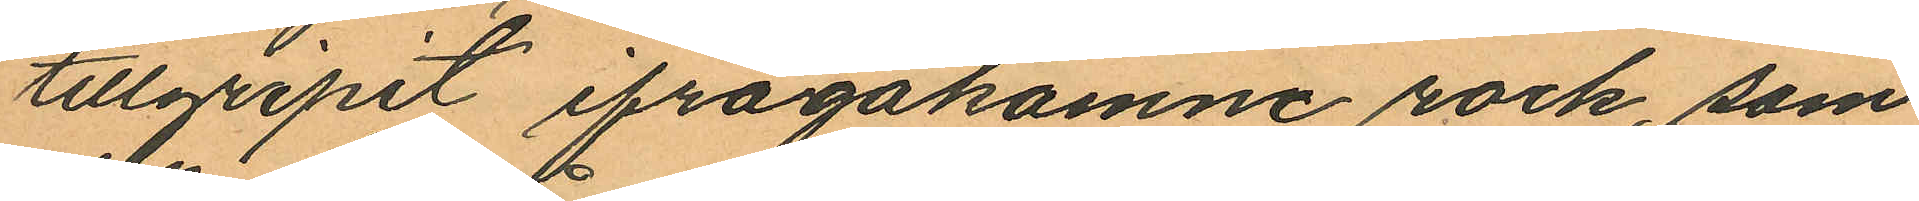tillgripit ifrågakomne rock, som
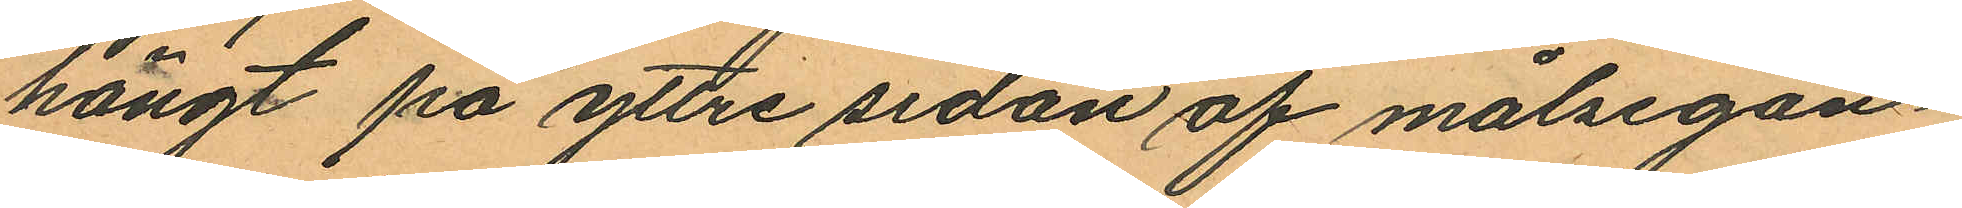hängt på yttre sidan af målsegan¬
